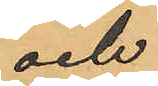och
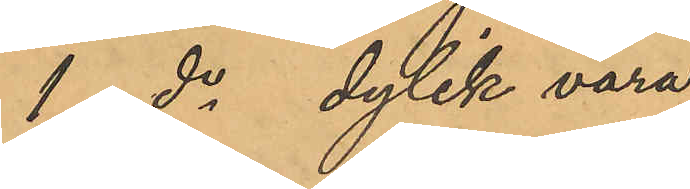1 do dylik vara
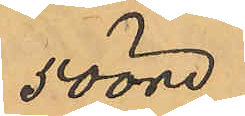50 öre.
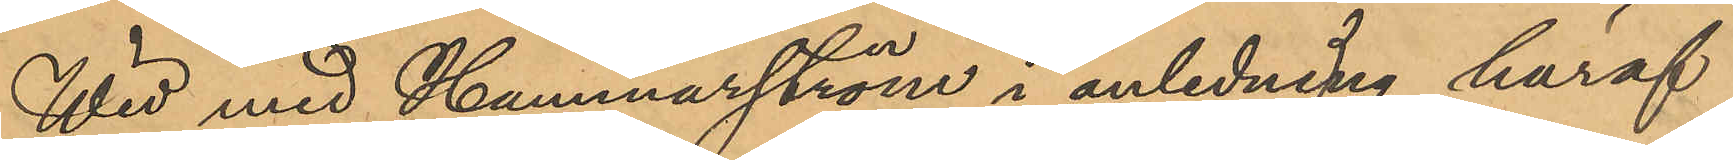Wid med Hammarström i anledning häraf
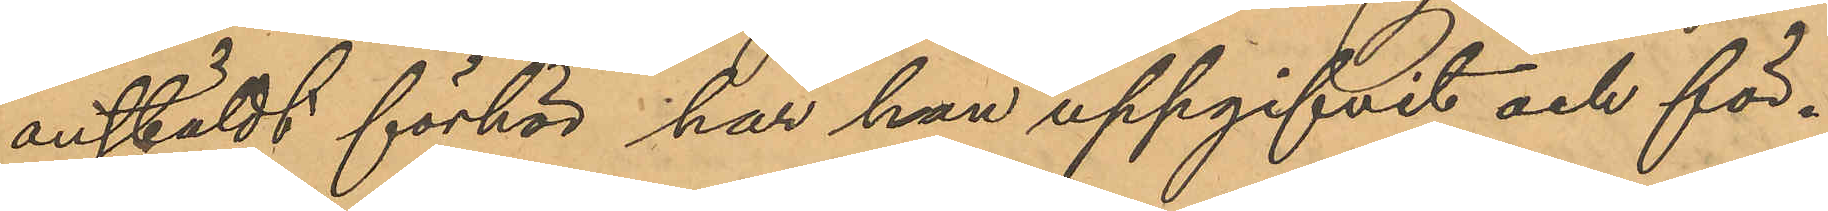anstäldt förhör, har han uppgifvit och för¬
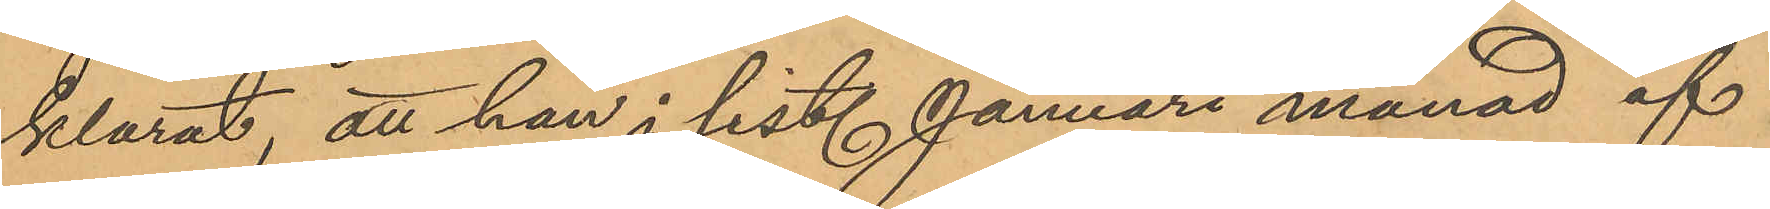klarat, att han i sist. Januari månad af
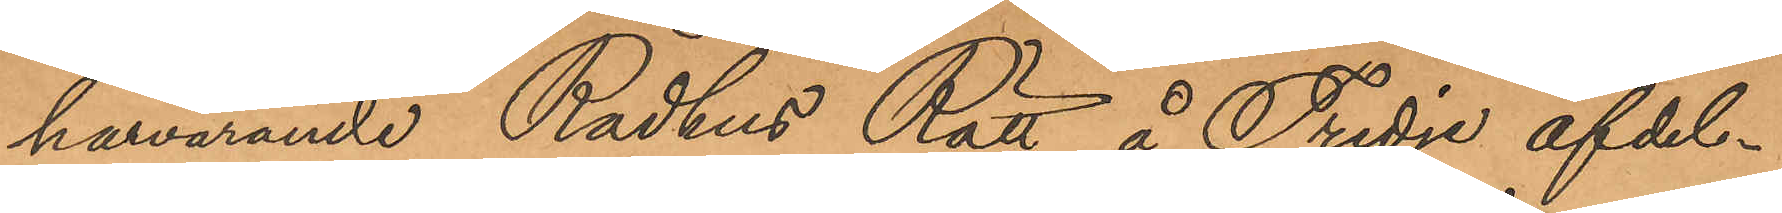härvarande Rådhus Rätt, å Tredje afdel¬
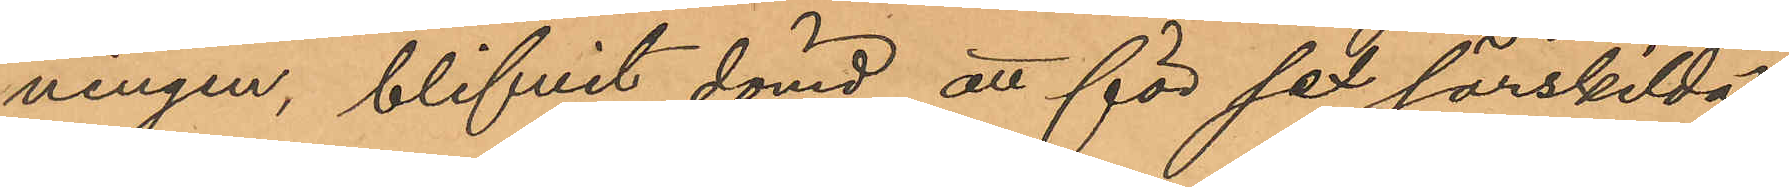ningen, blifvit dömd att för sex särskilda
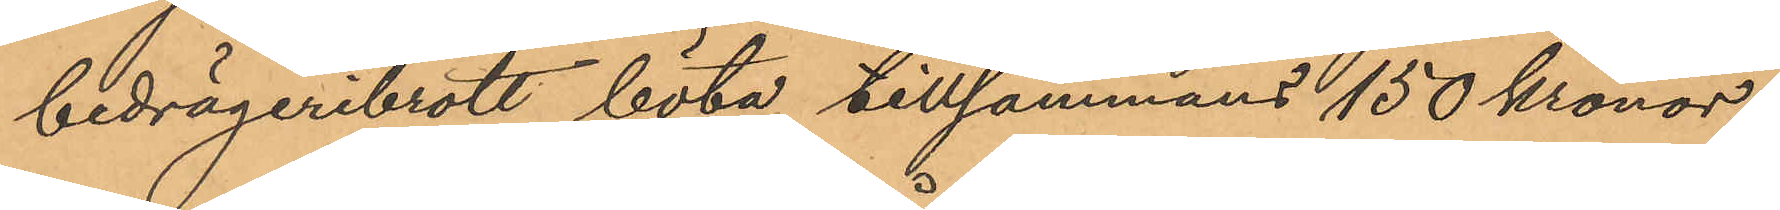bedrägeribrott böta tillsammans 150 kronor
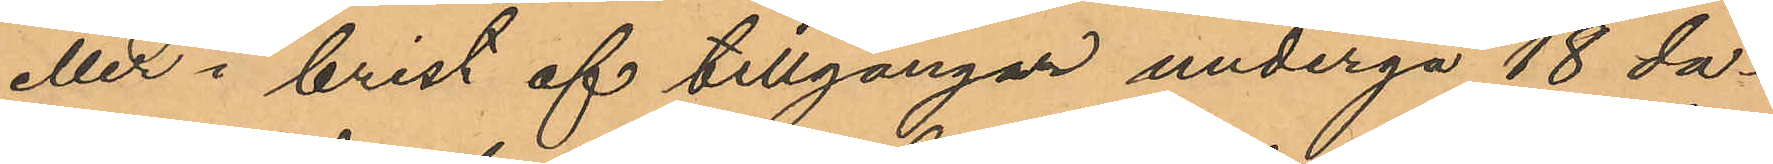eller i brist af tillgångar undergå 18 da¬
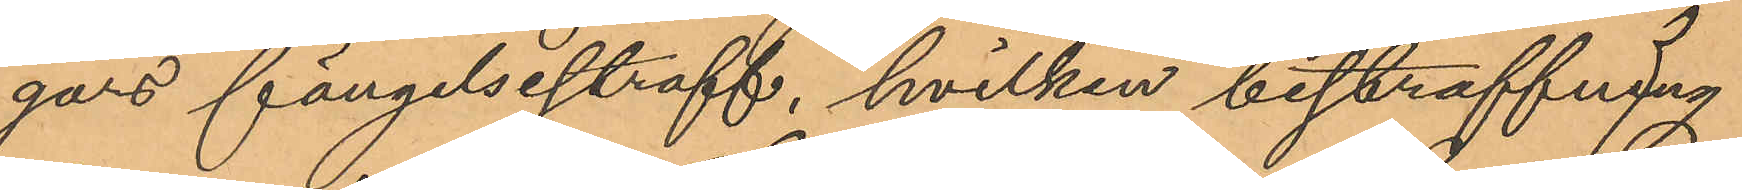gars fängelsestraff, hvilken bestraffning
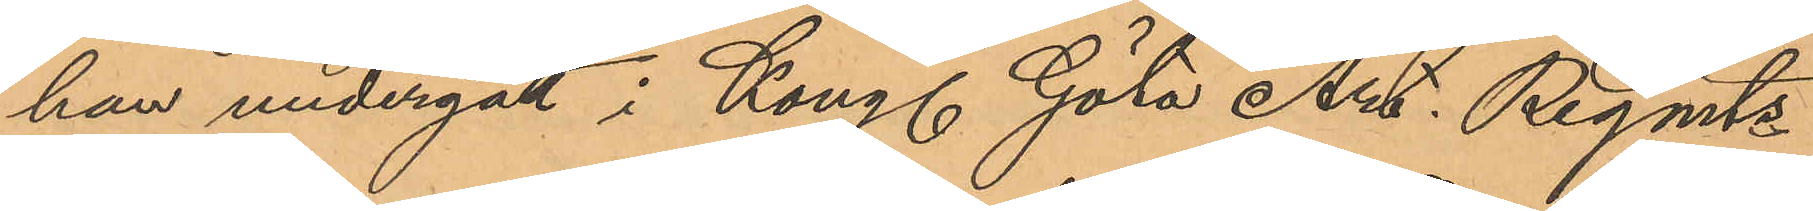han undergått i Kongl. Göta Art. Regmts
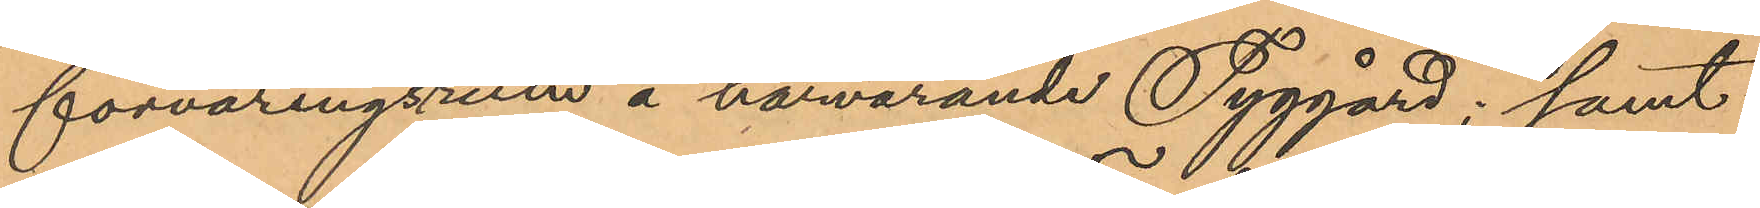förvaringsrum å härvarande Tyggård; samt
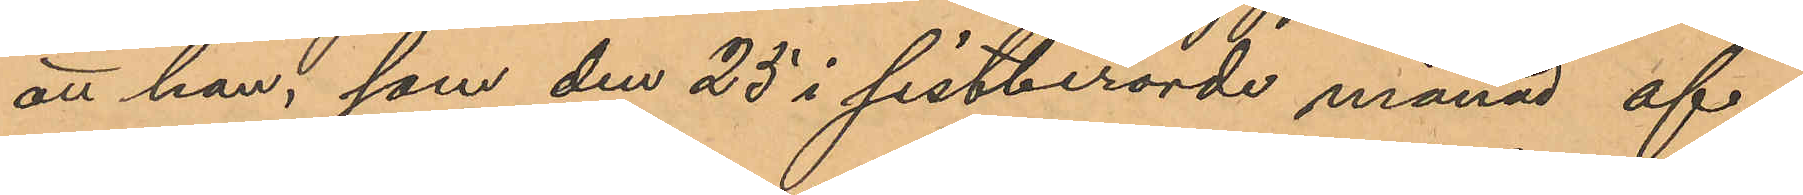att han, som den 25 i sistberörde månad af¬
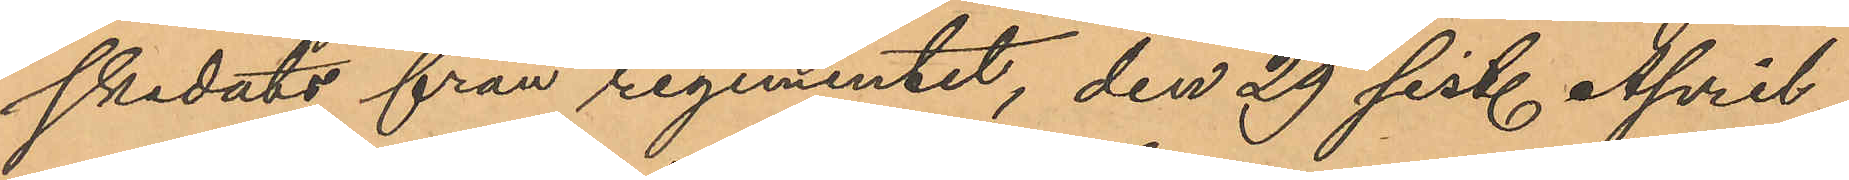skedats från regementet, den 29 sist. April
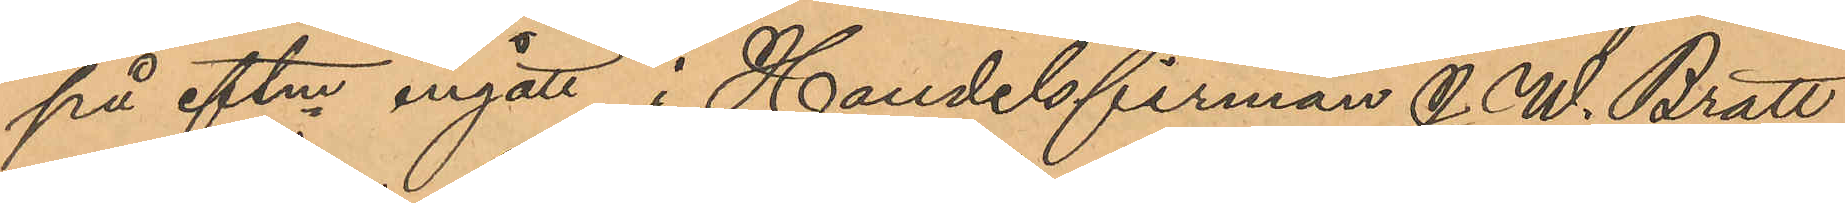på eftm ingått i Handelsfirman J. W. Bratt
